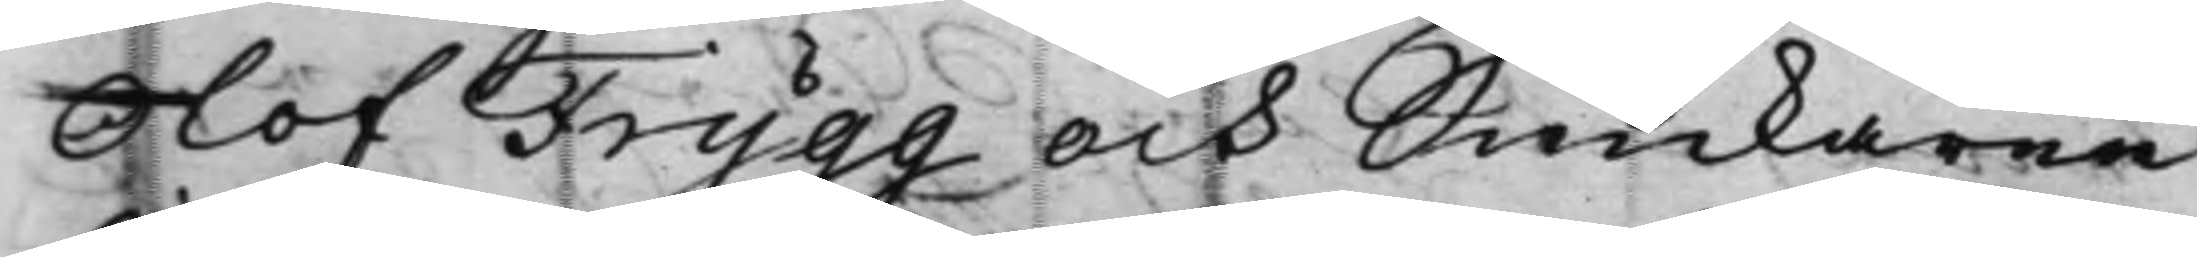Olof Frygg och Snickaren
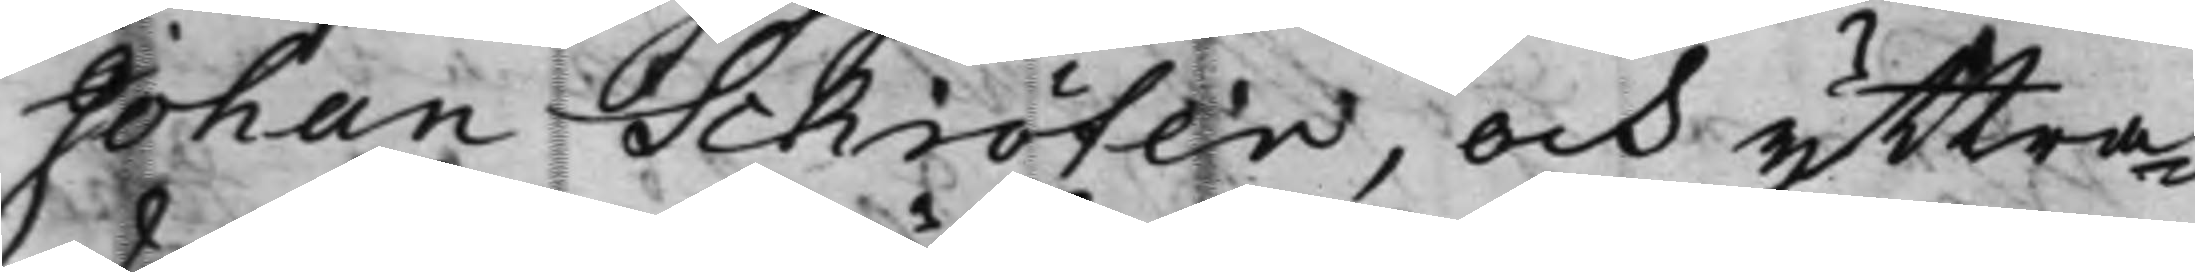Johan Schröter, och yttra¬
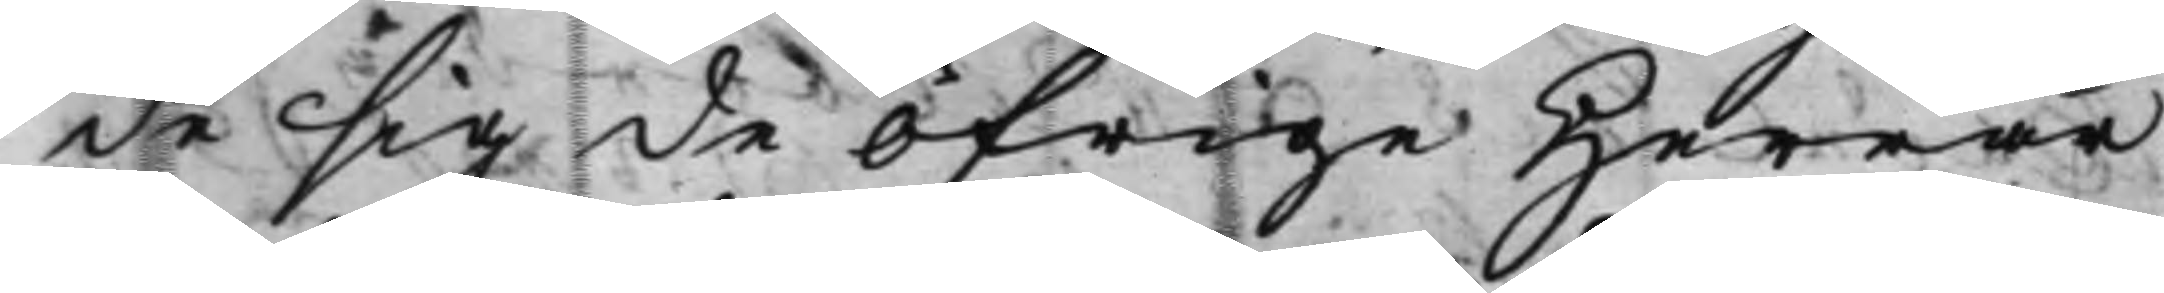de sig de öfrige Herrar
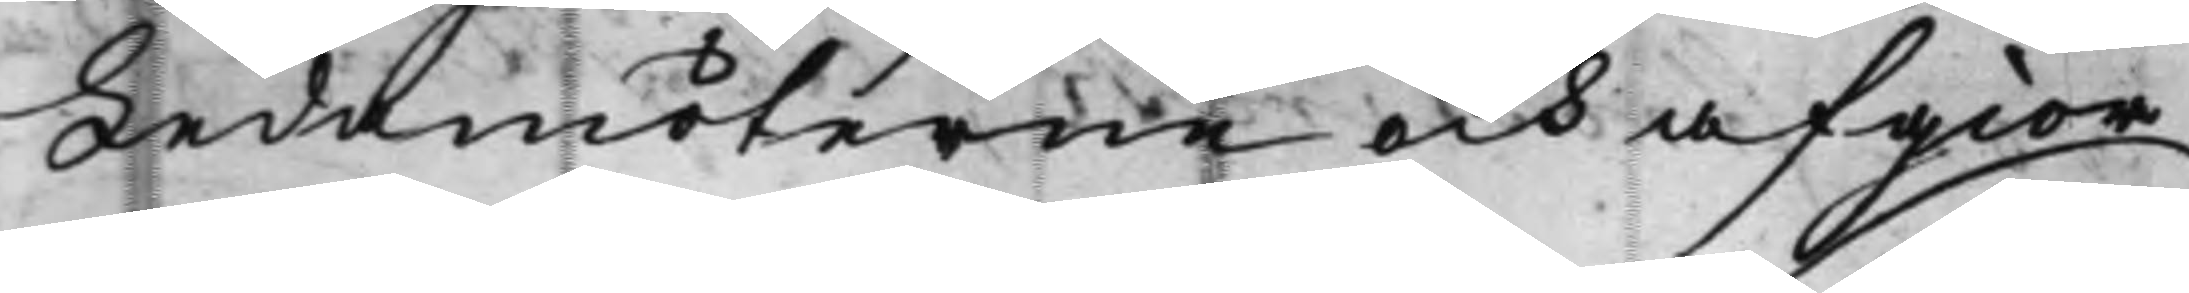Ledamöterne och afgior¬
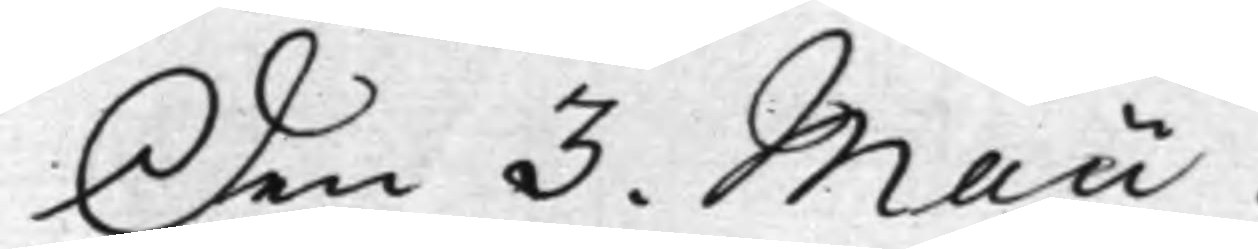den 3. Maii
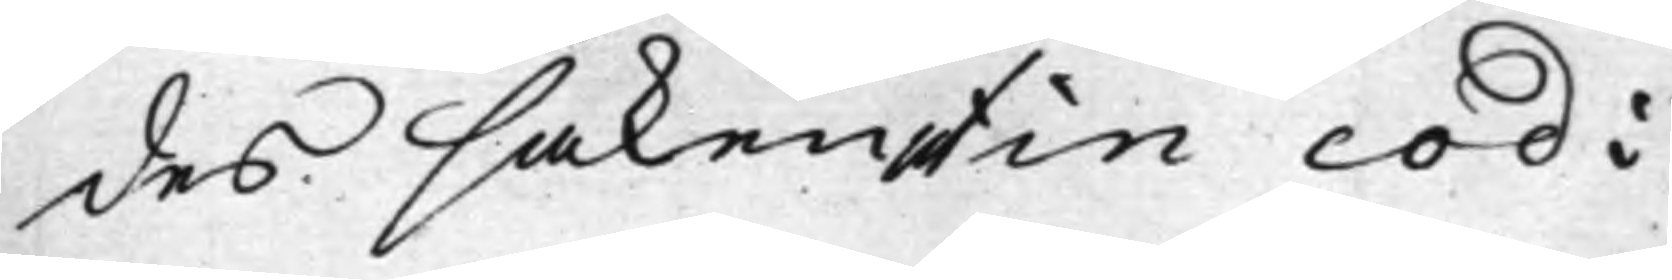des saken ut in cod:
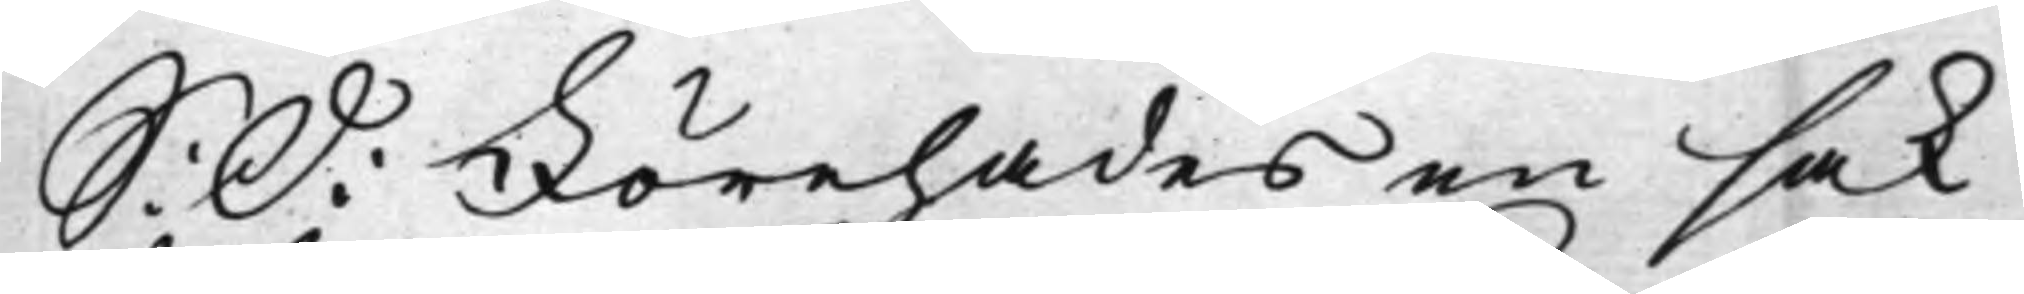S: D: Förehades en sak
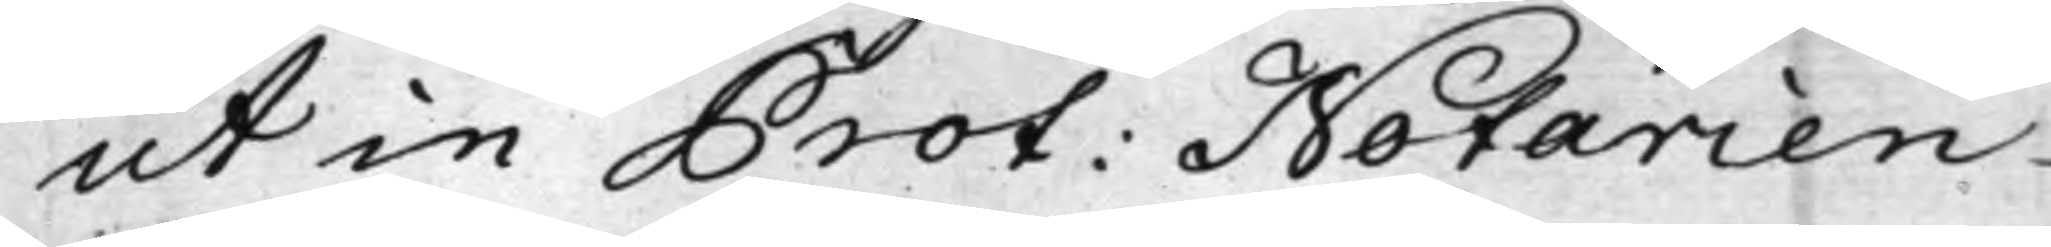ut in Prot: Notarien
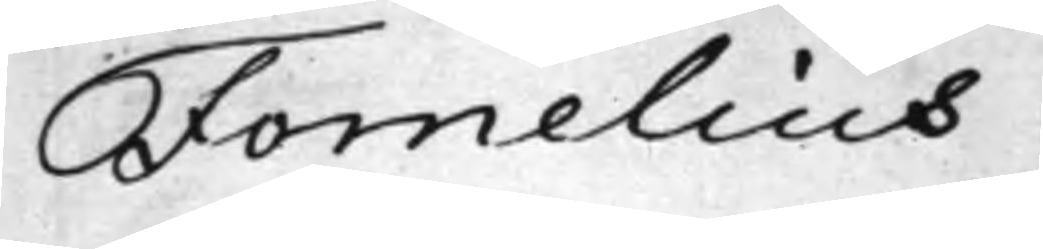Fornelius.
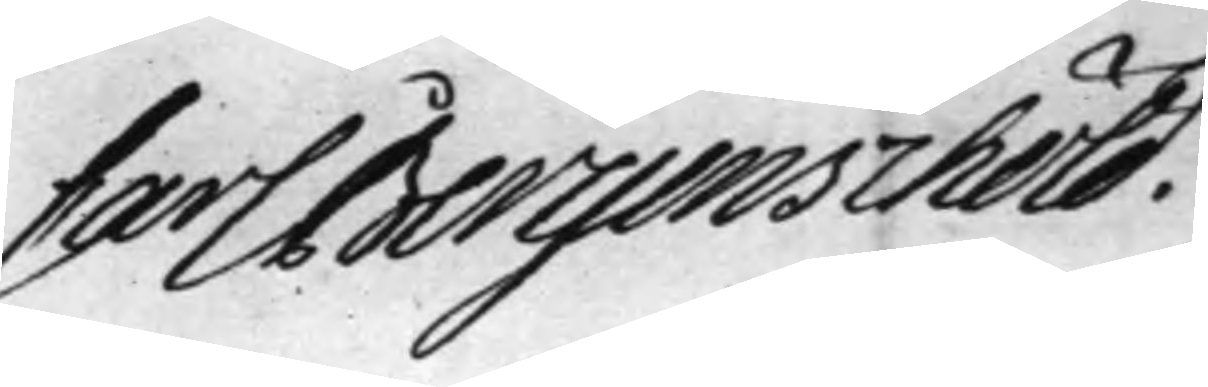Carl Bergenschöld. 
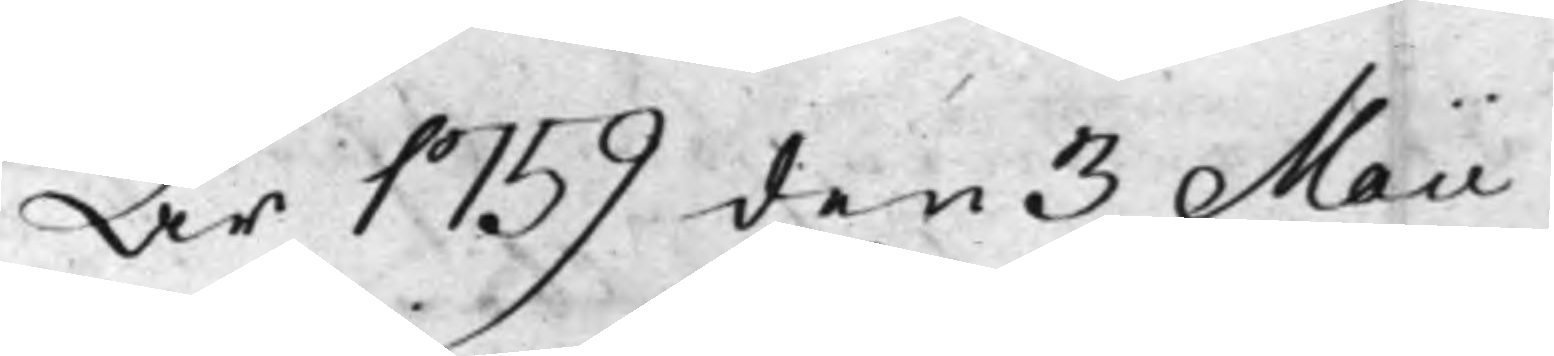År 1759 den 3 Maii
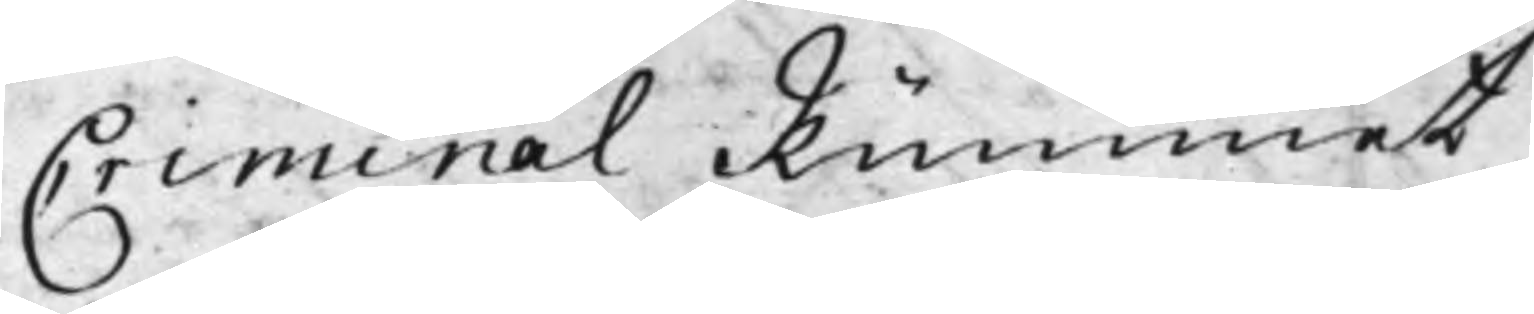Criminal Rummet
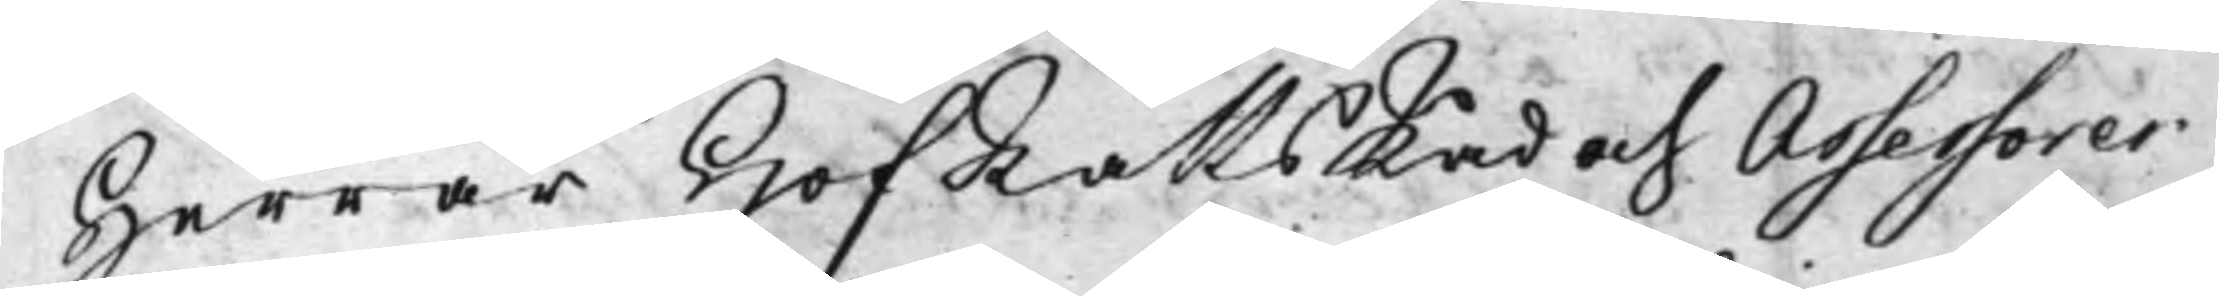Herrar HofRättsRåd och Assessorer
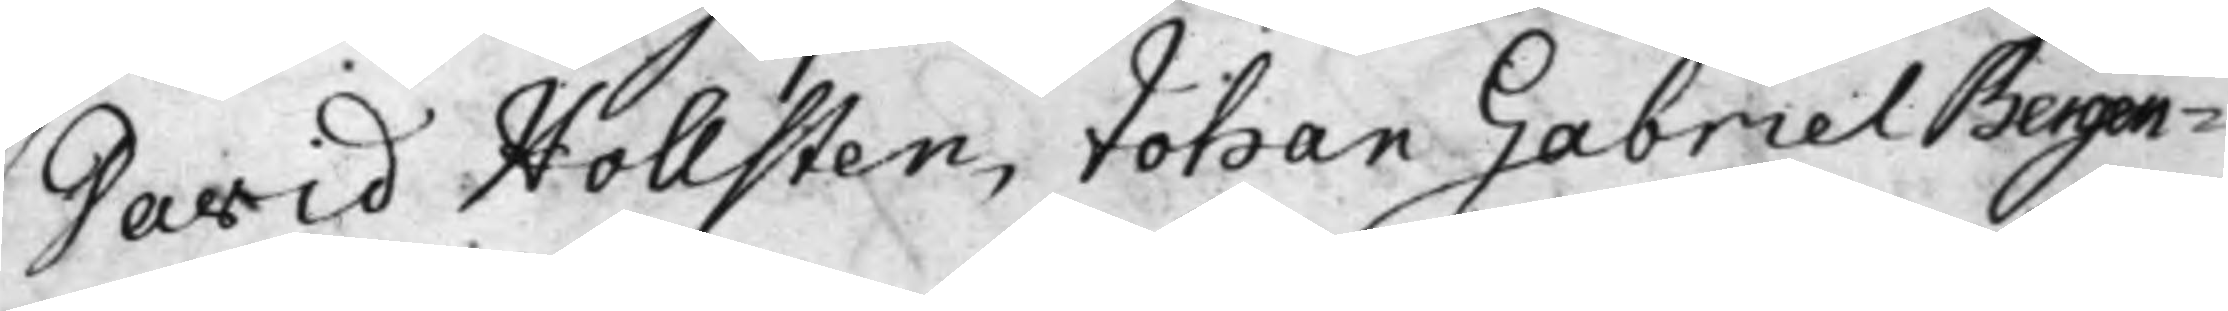David Hollsten, Johan Gabriel Bergen¬
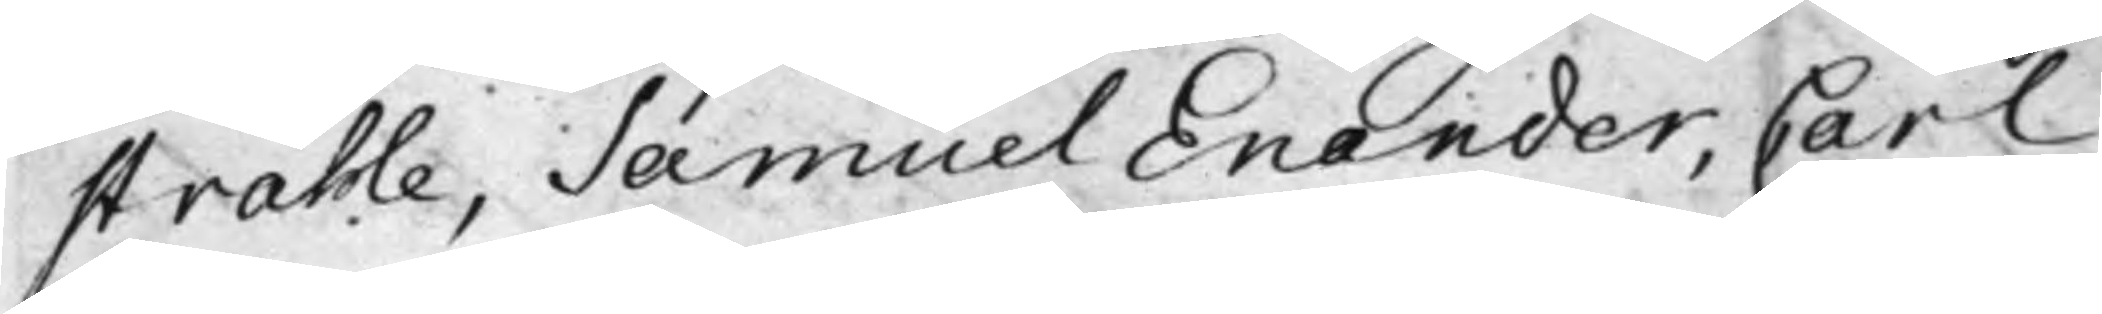stråhle, Samuel Enander, Carl
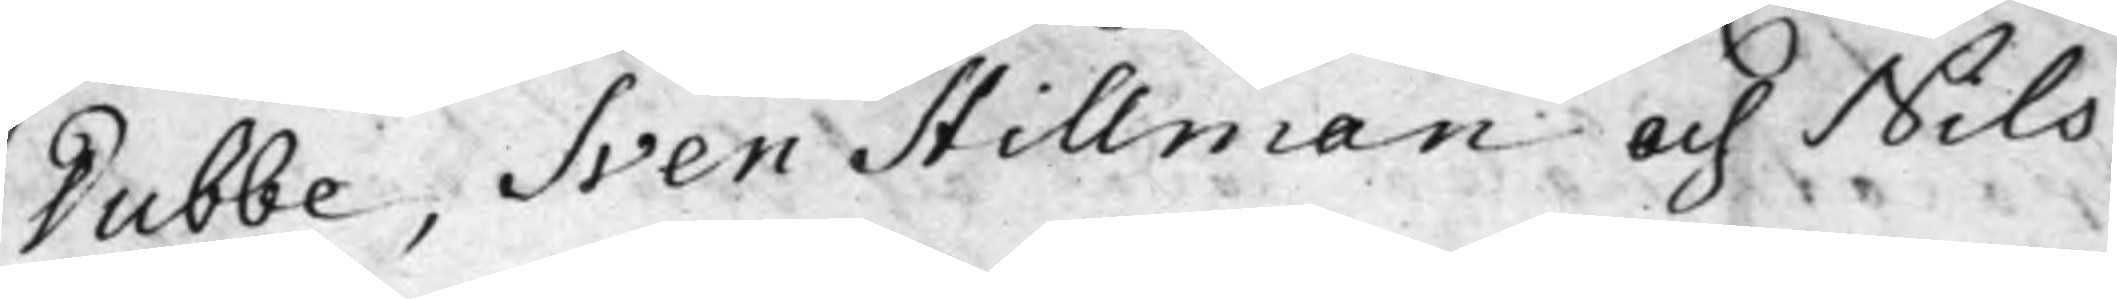Dubbe, Sven Stillman och Nils
